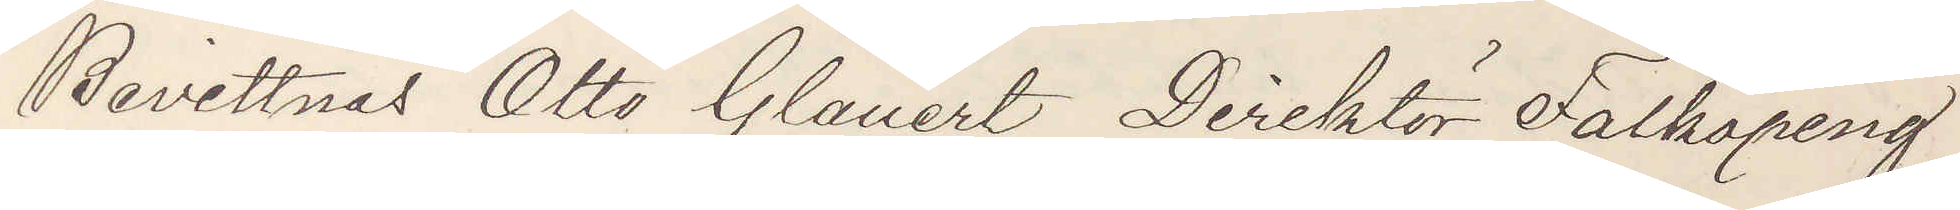Bevittnas Otto Glauert Direktör Falköping
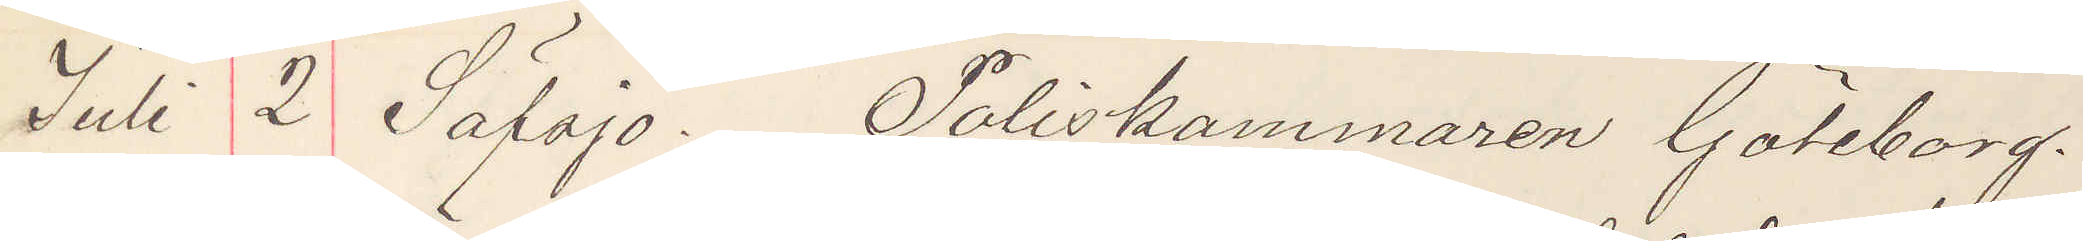Juli 2 Säfsjö. Poliskammaren Göteborg.
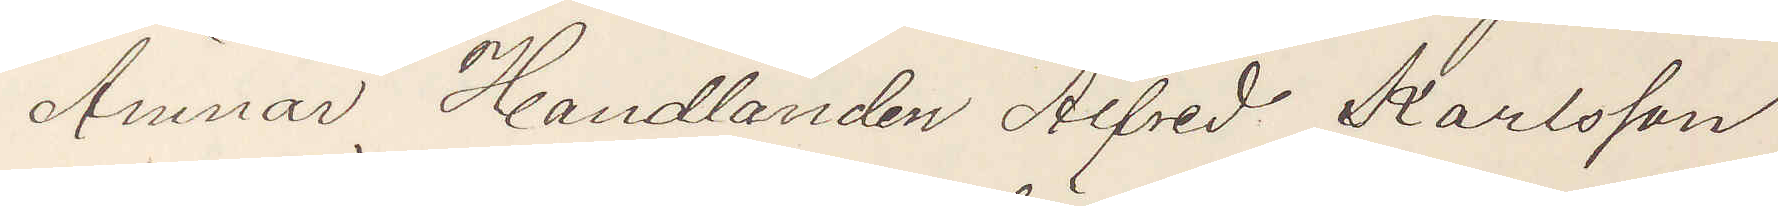Ämnar Handlanden Alfred Karlsson
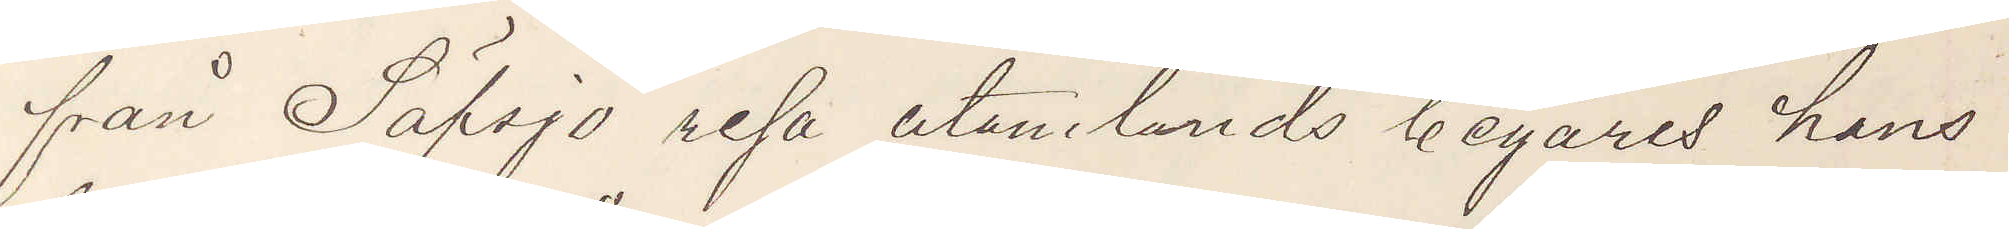från Säfsjö resa utamlands begäres hans
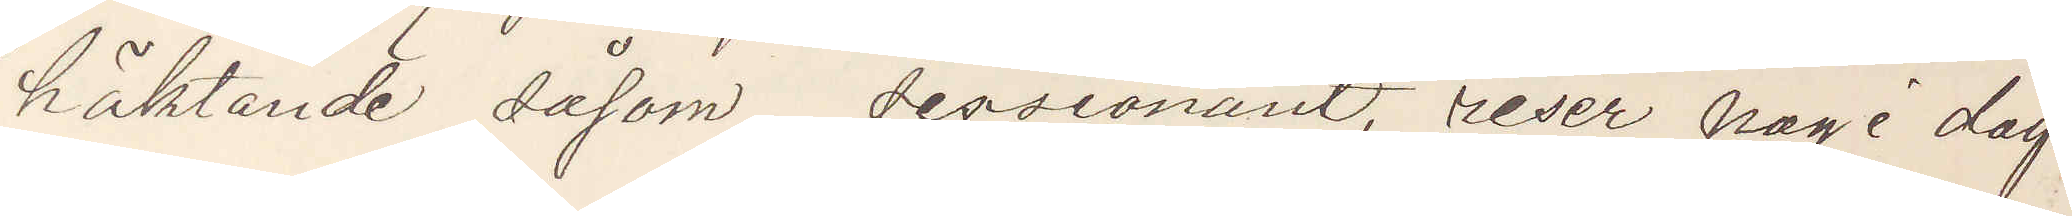häktande såsom sessionant, reser nog i dag
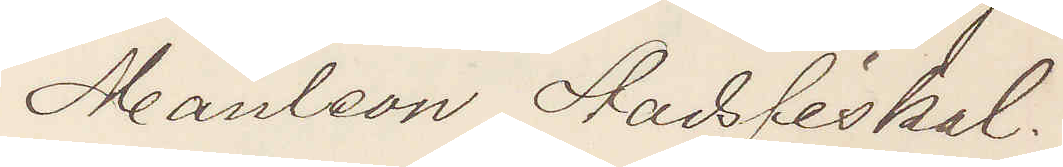Manleon Stadsfiskal.
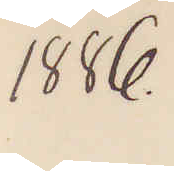1886.
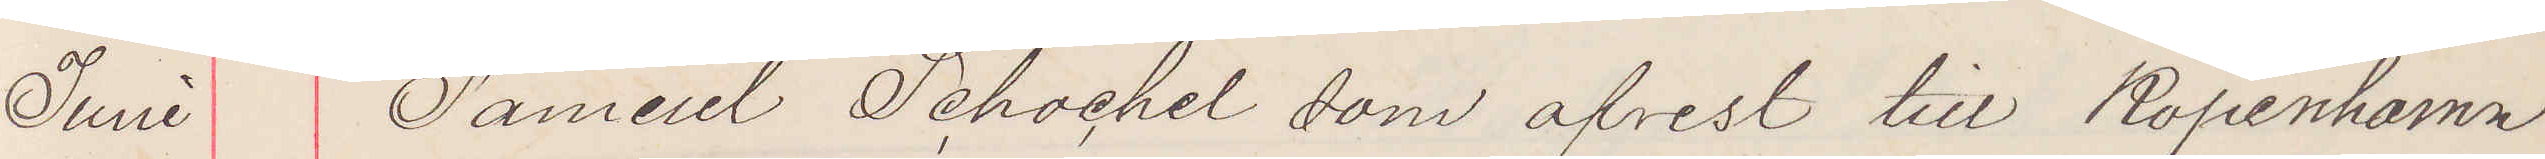Juni Samuel Schochel som afrest till Köpenhamn
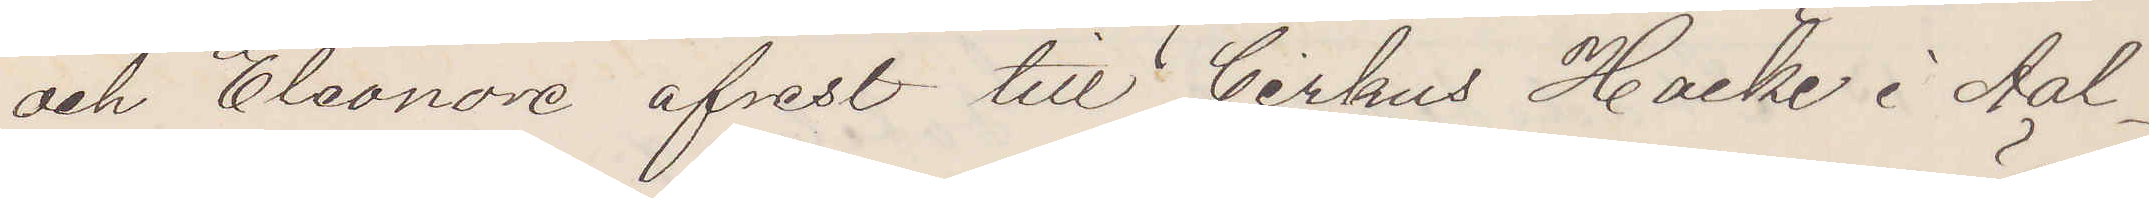och Eleonore afrest till Cirkus Hacke i Aal¬
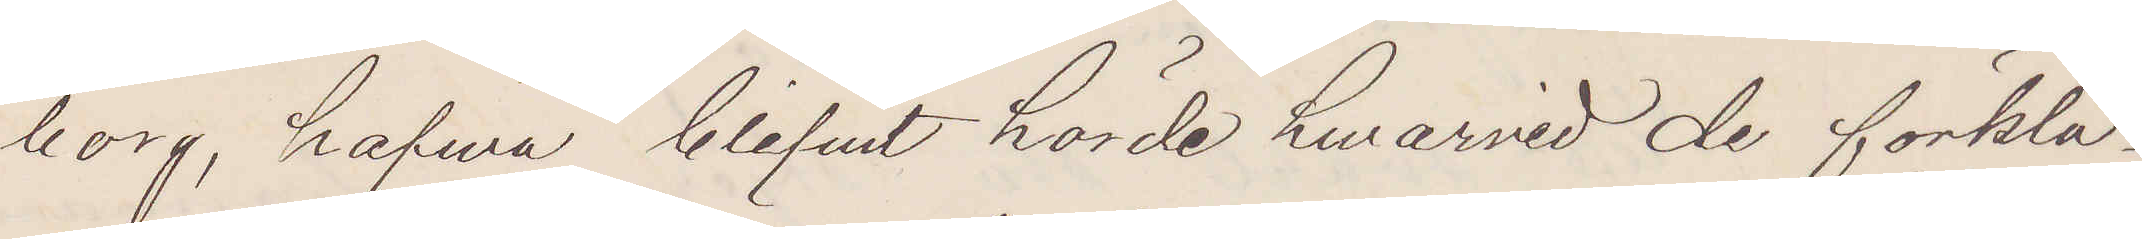borg, hafva blifvt hörde hwarvid de förkla¬
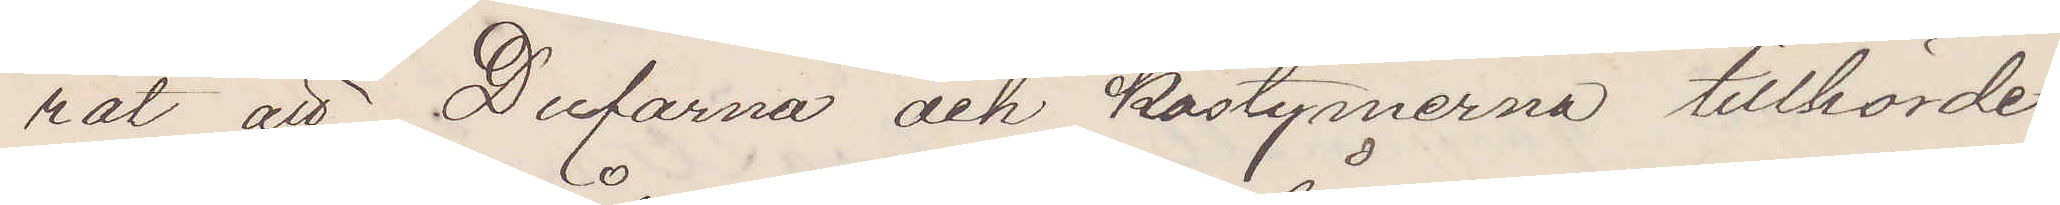rat att Dufarna och kostymerna tillhörde
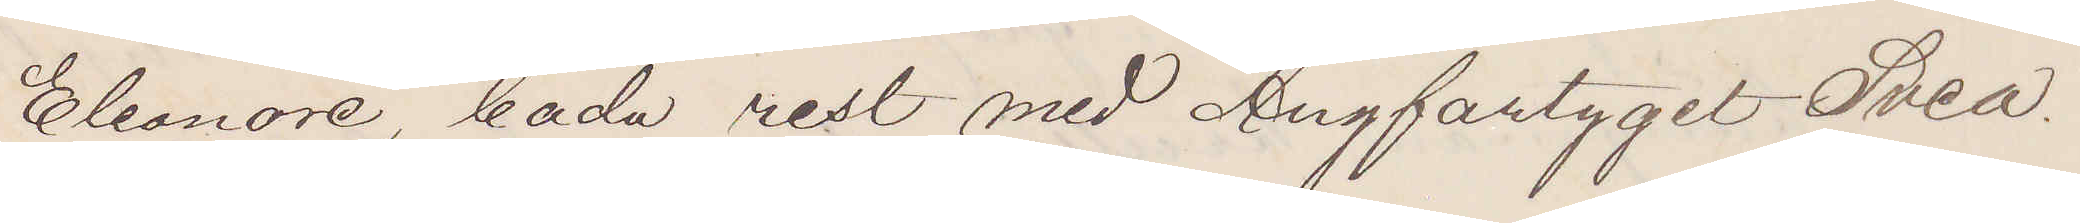Eleonore, båda rest med Ångfartyget Svea.
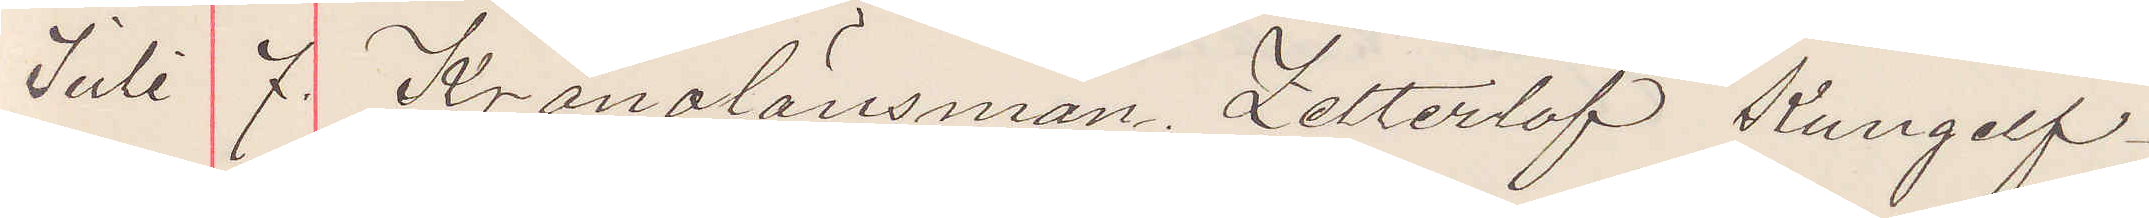Juli 7. Kronolänsman Zetterlöf Kungelf.
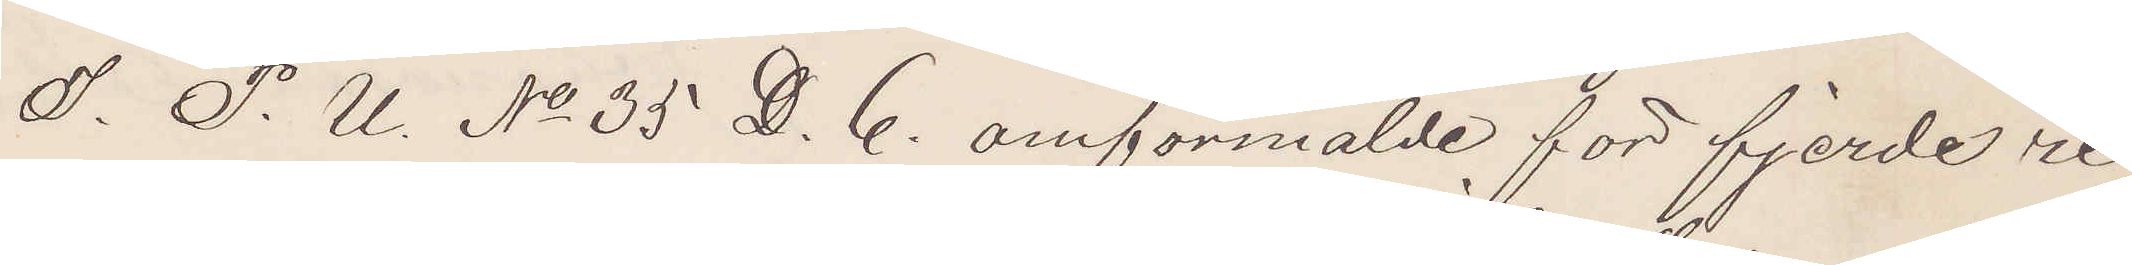I. P. U. No 35 D. 6. omförmälde för fjerde re¬
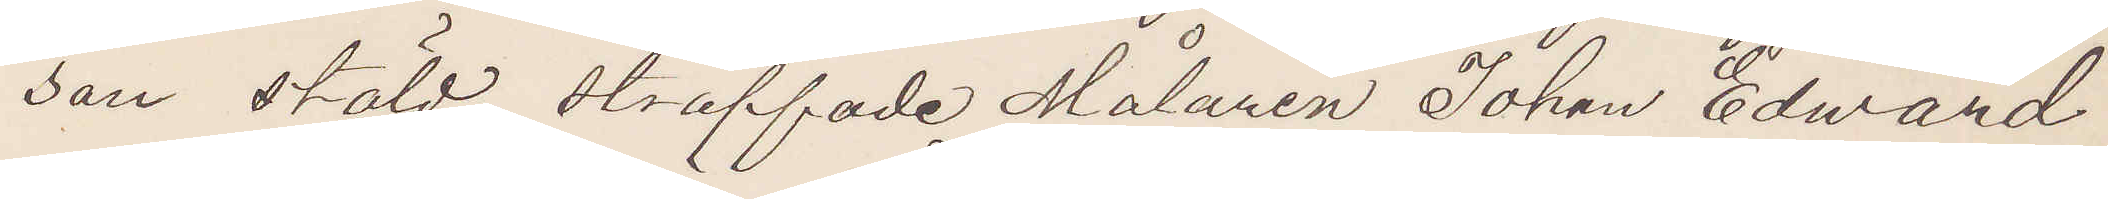san stöld straffade Målaren Johan Edward
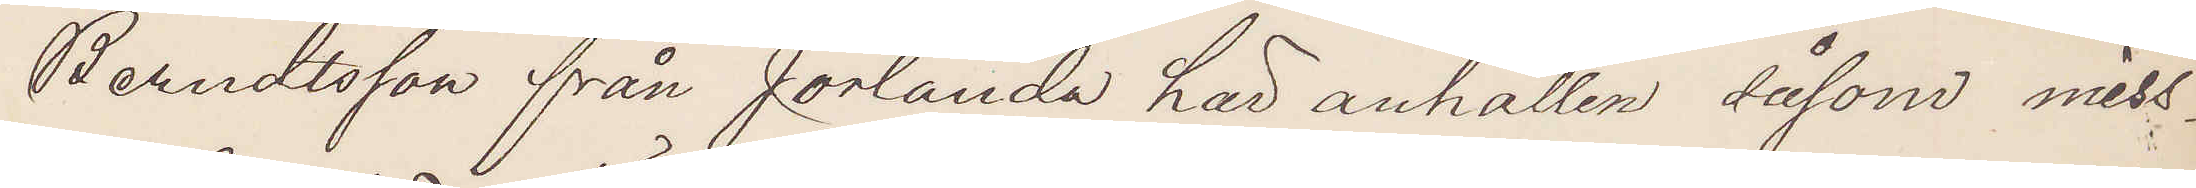Berndtsson från Jörlanda här anhållen såsom miss¬
